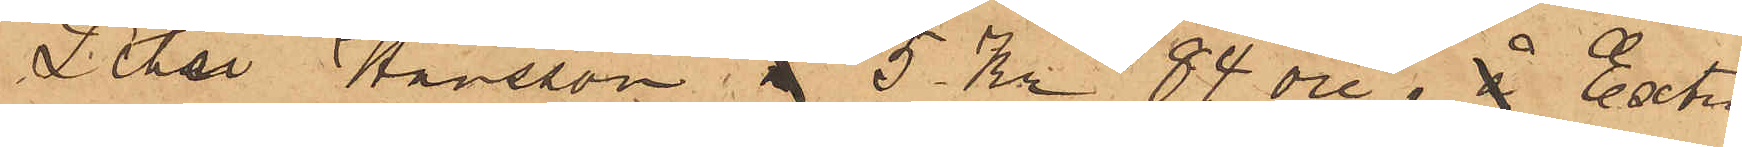Peter Hansson, 5 Kr 85 öre, Extra
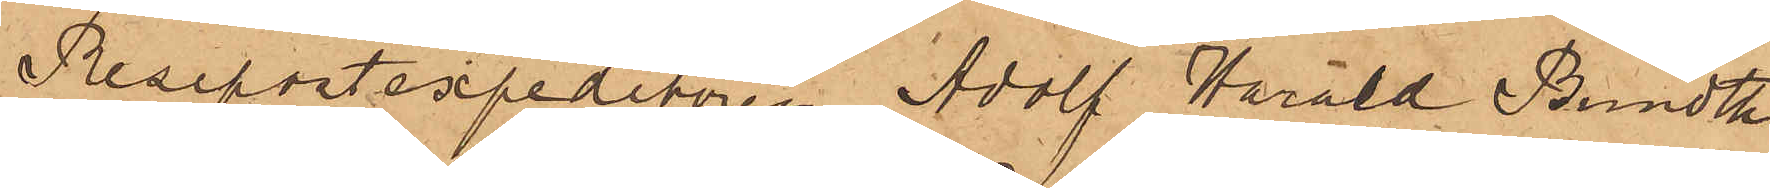Resepostsexpeditören Adolf Harald Bundth
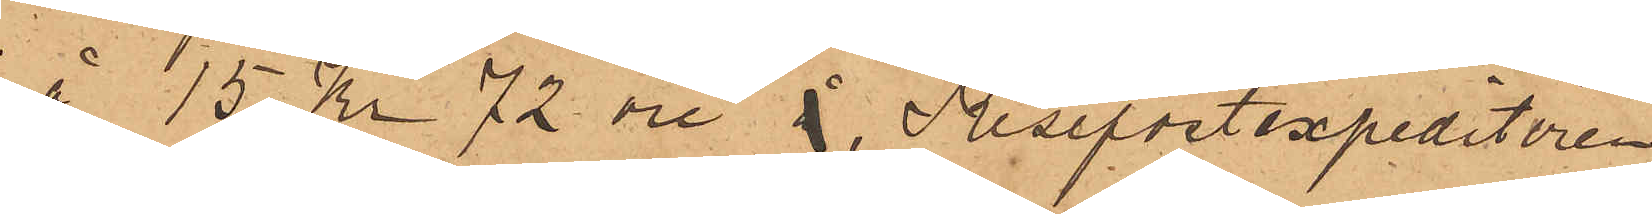å 15 Kr 72 öre, Resepostexpeditören
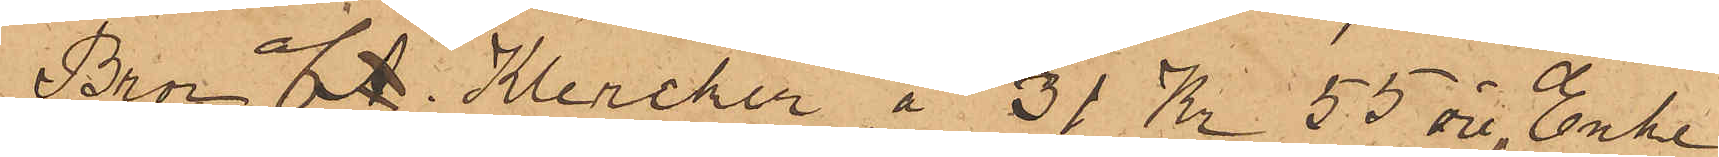Bror G. Klercker å 31 Kr 55 öre, Enke¬
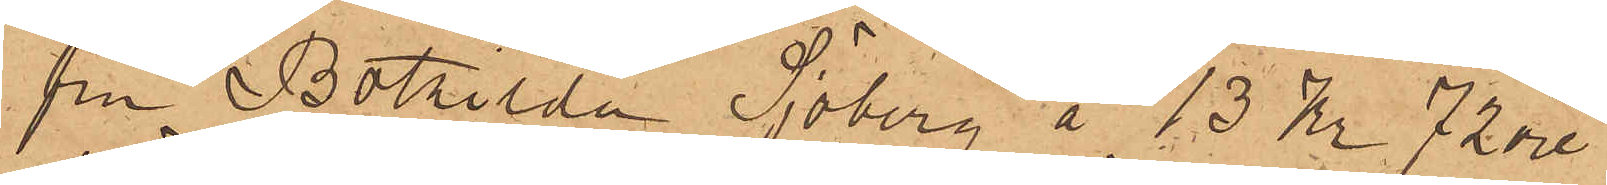fru Bothilda Söberg å 13 Kr 72 öre,
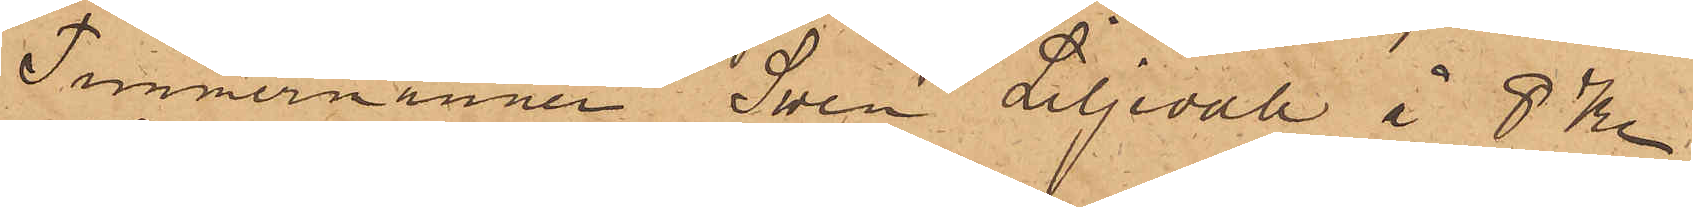Timmermannen Sven Liljevall å 8 Kr
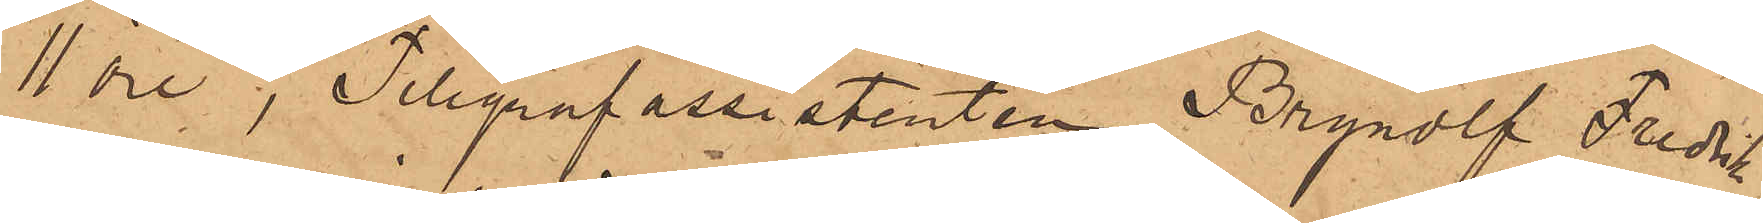11 öre,Telegrafassistenten Brynolf Fredrik
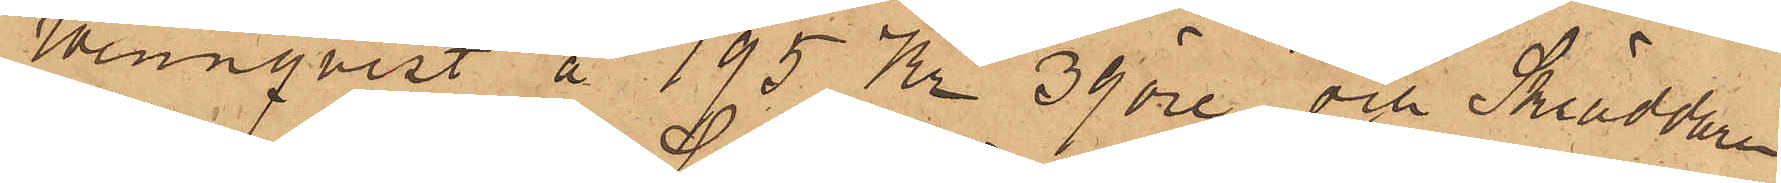Wennqvist å 195 Kr 39 öre och Skräddaren
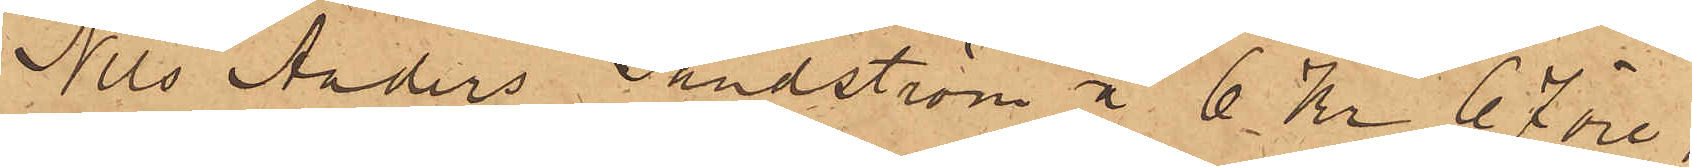Nils Anders Sandström å 6 Kr 67 öre;
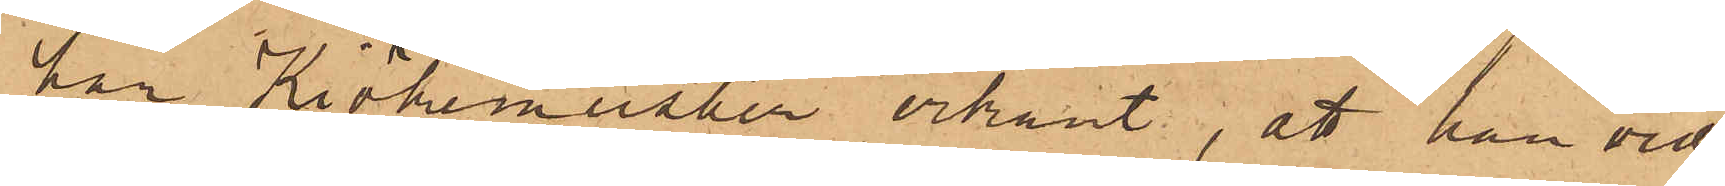har Kiökemeister erkänt, att han vid
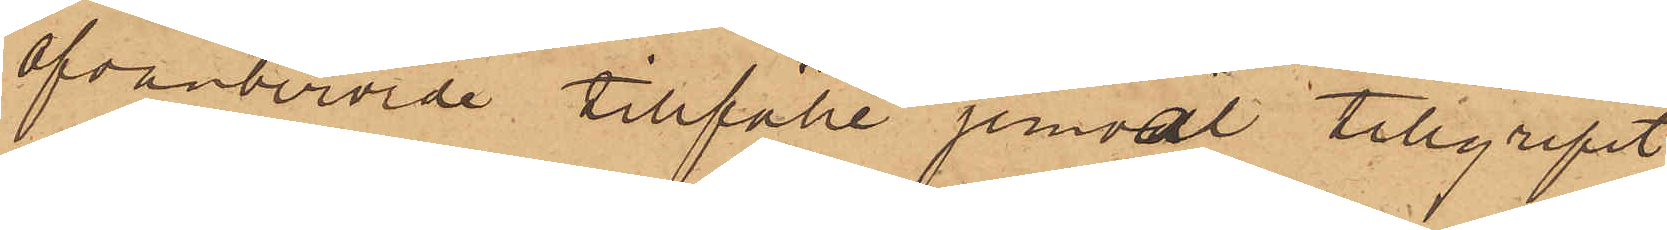ofvanberörde tillfälle jemväl tillgripit
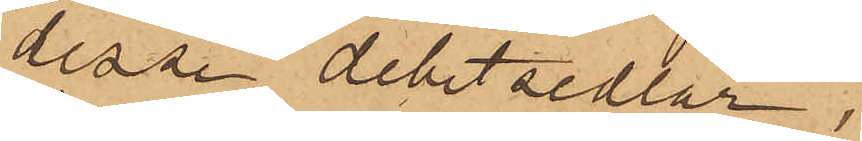desse debetsedlar,
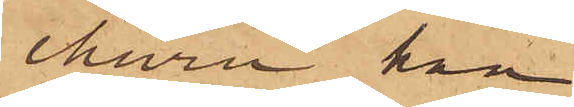ehuru han
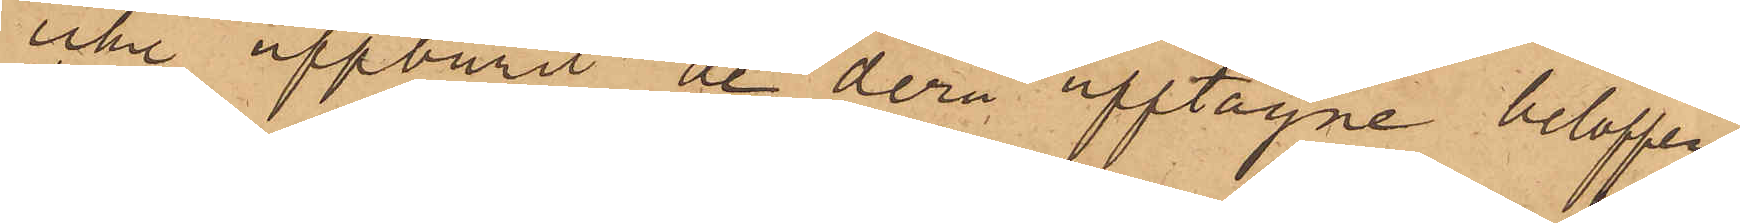icke uppburit de derå upptagne beloppen
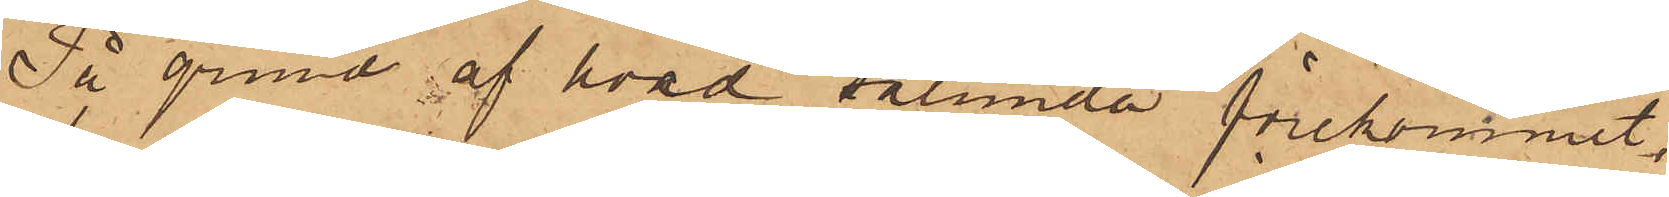På grund af hvad sålunda förekommit,
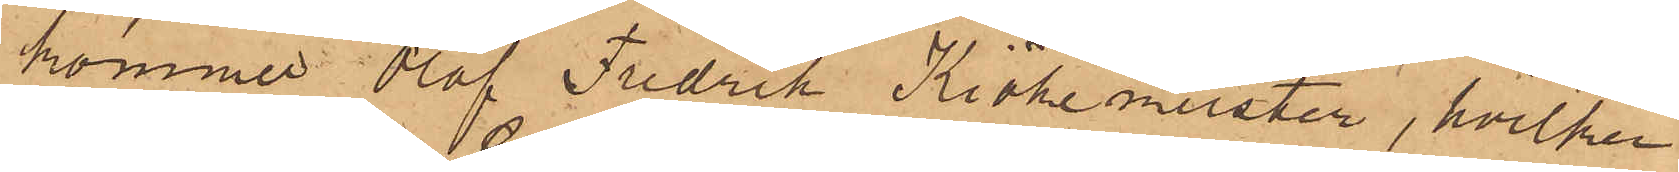kommer Olof Fredrik Kiökemeister, hvilken
